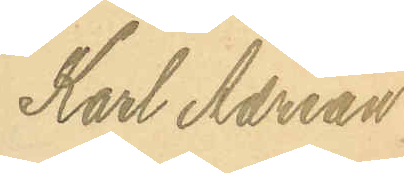Karl Adrian
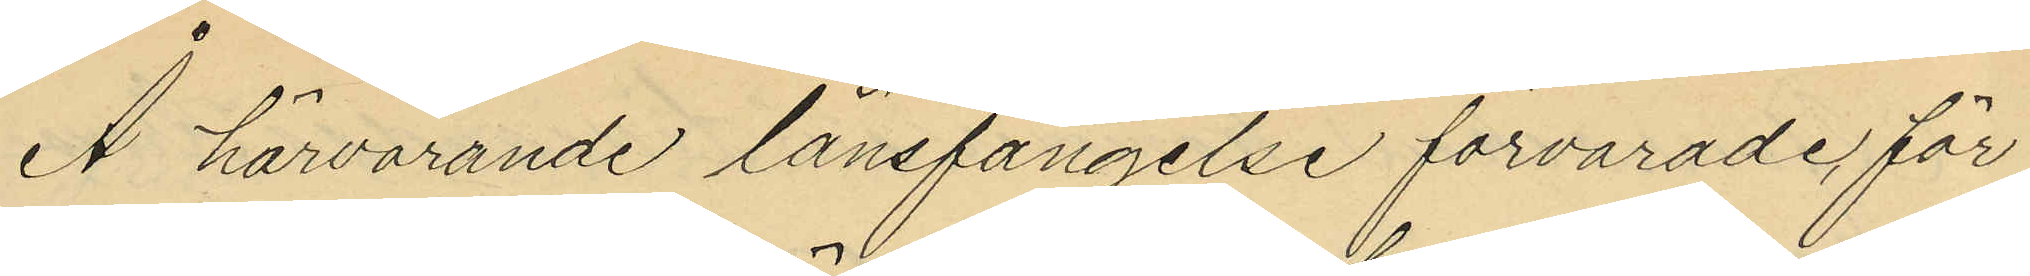Å härvarande länsfängelse förvarade för
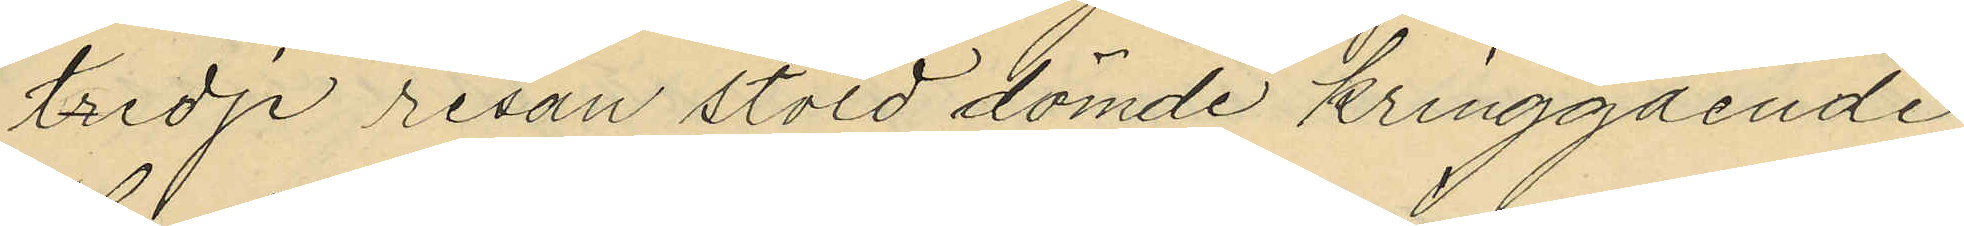tredje resan stöld dömde kringgående
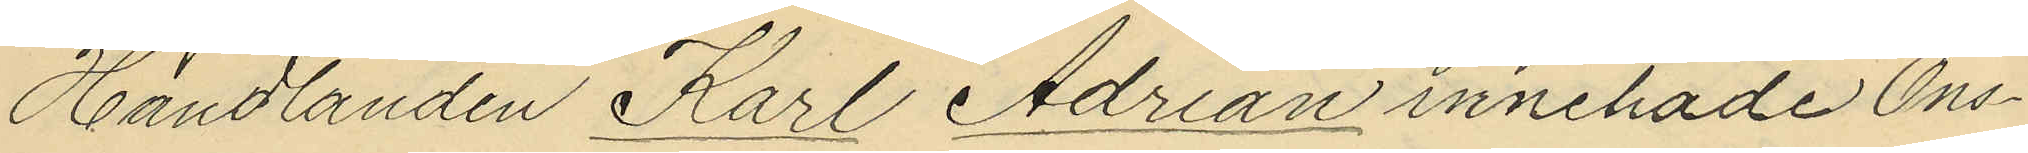Handlanden Karl Adrian innehade Ons¬
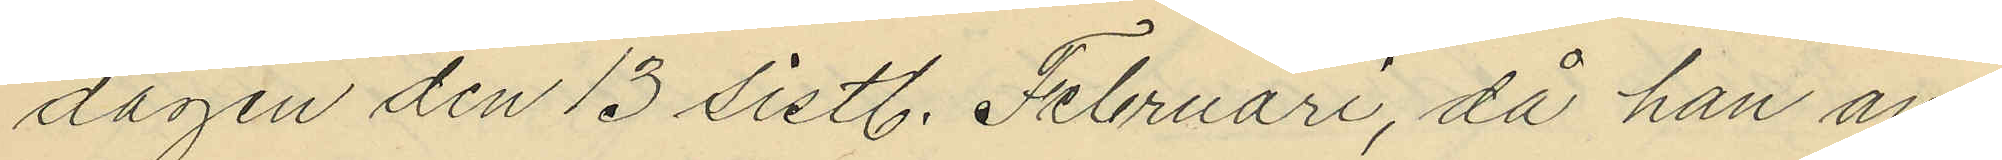dagen den 13 sistl. Februari, då han an¬
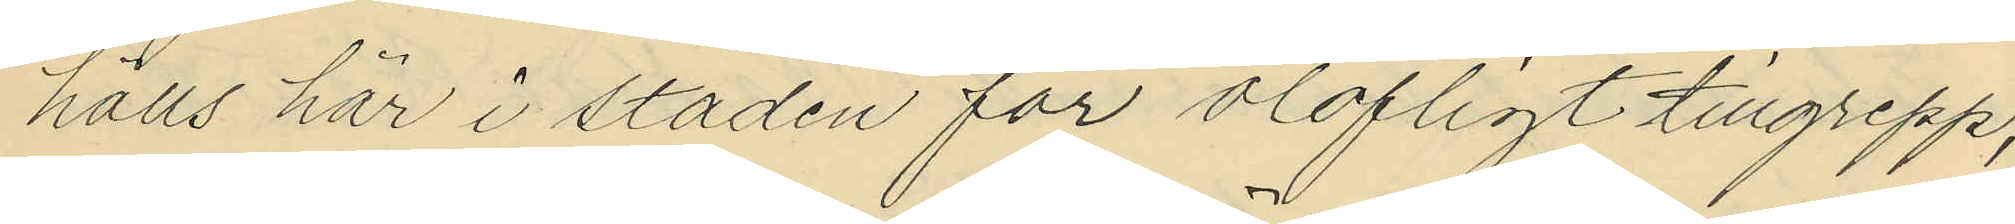hölls här i staden för olofligt tillgrepp,
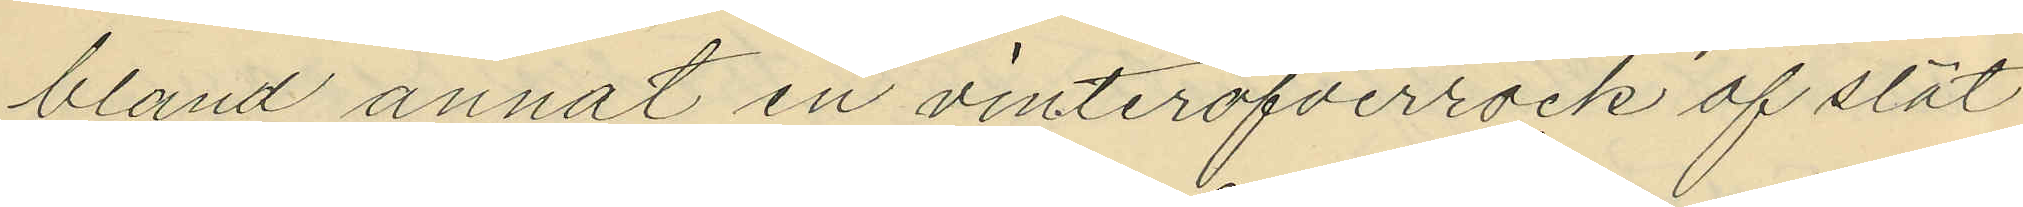bland annat en vinteröfverrock af slät
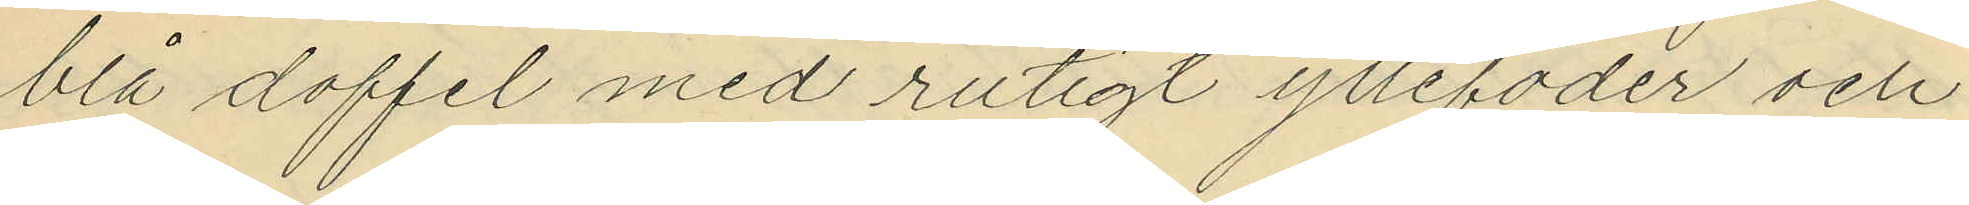blå doffel med rutigt yllefoder och
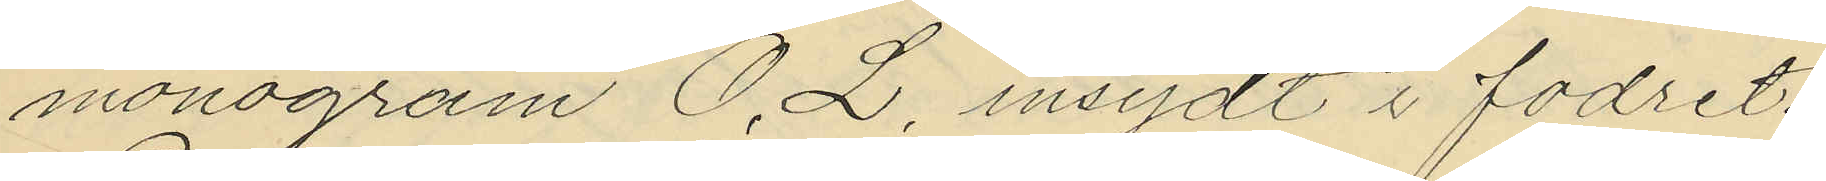monogram O. L, insydt i fodret.
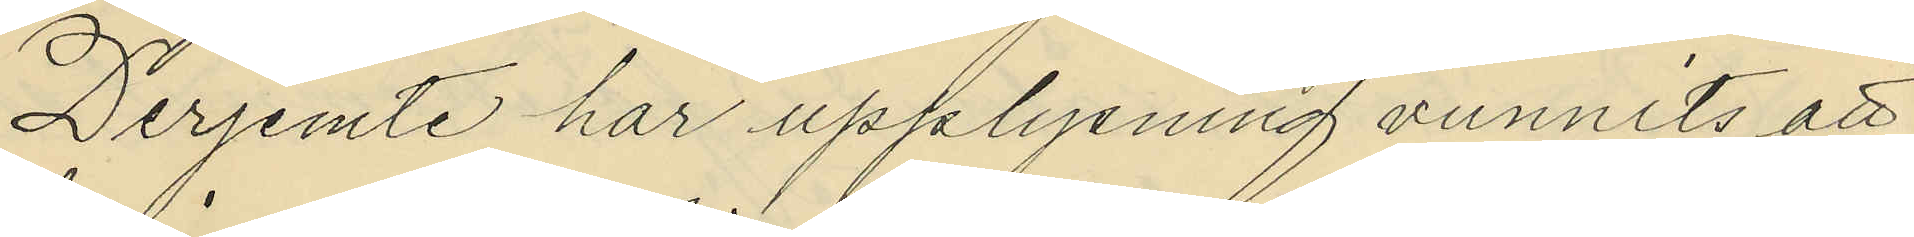Derjemte har upplysning vunnits att
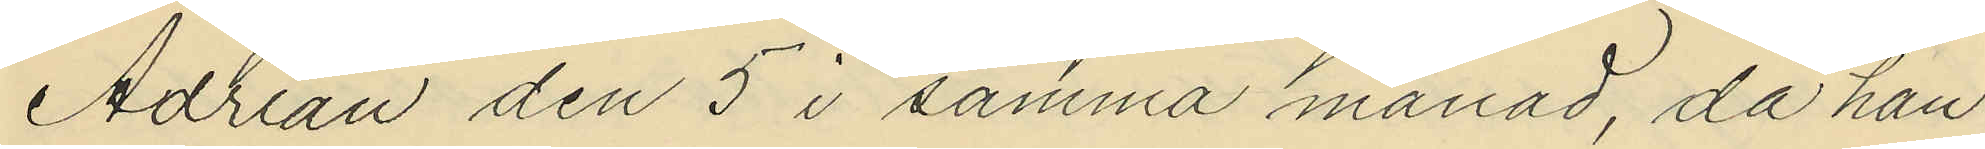Adrian den 5 i samma månad, då han
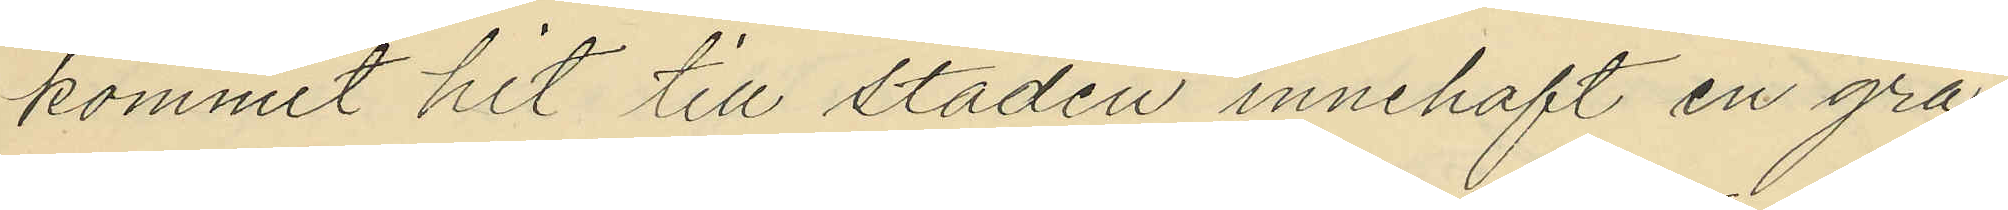kommit hit till staden innehaft en grå
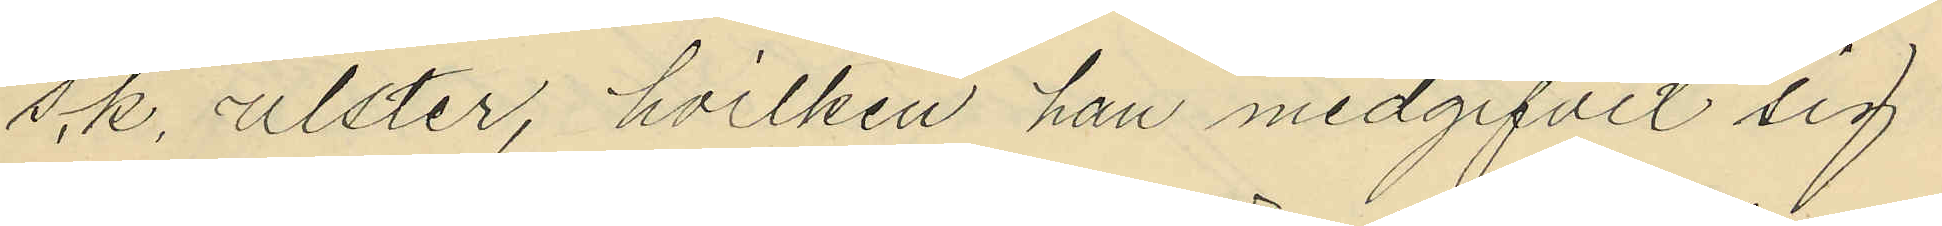s.k. ulster, hvilken han medgifvit sig
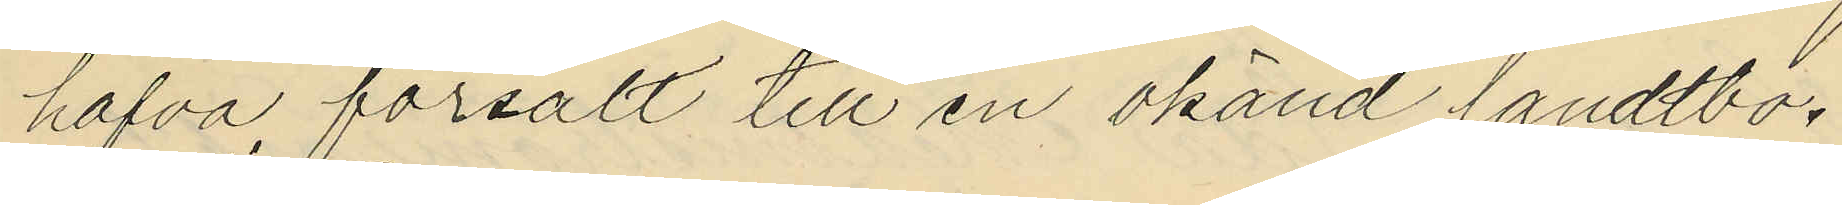hafva försålt till en okänd landtbo.
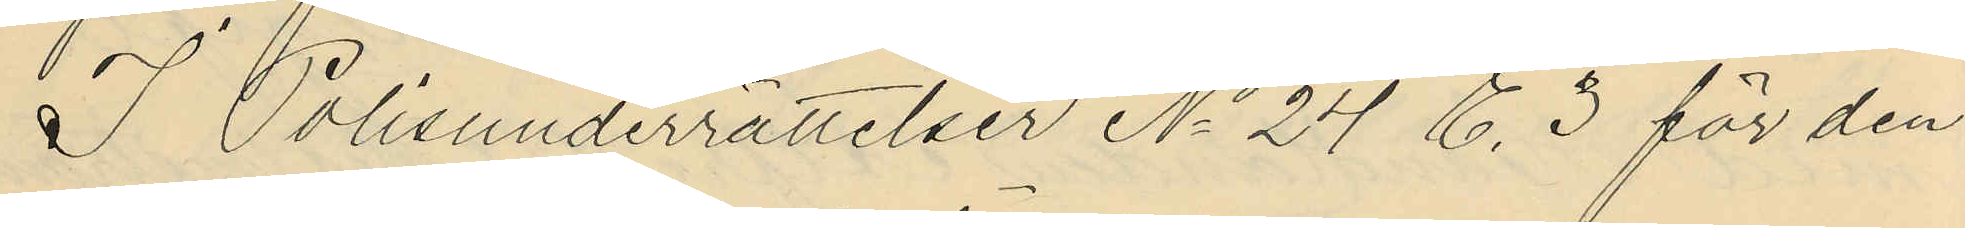I Polisunderrättelser No 24 E. 3 för den
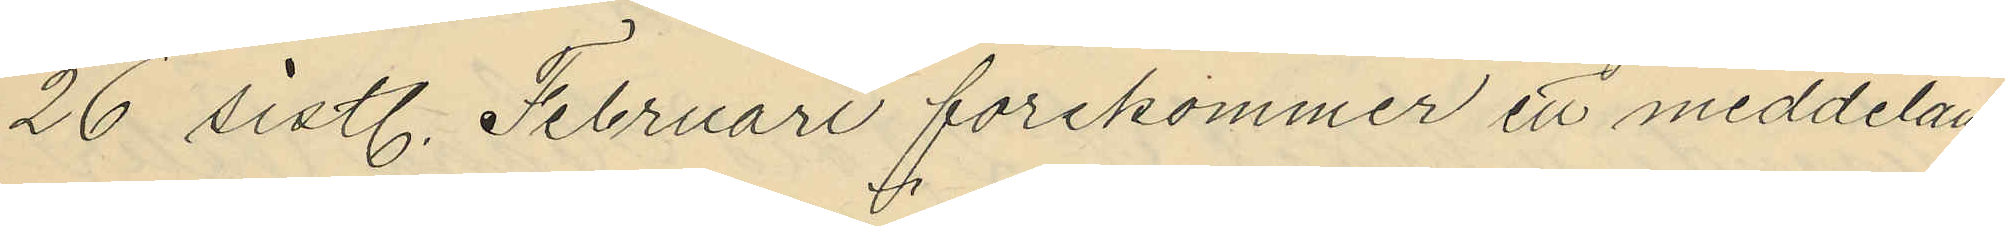26 sistl. Februari förekommer ett meddelan¬
